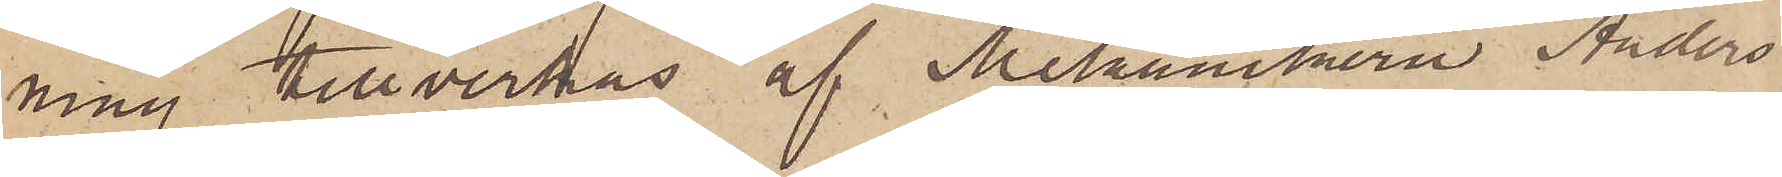ning tillverkas af Mekanikern Anders
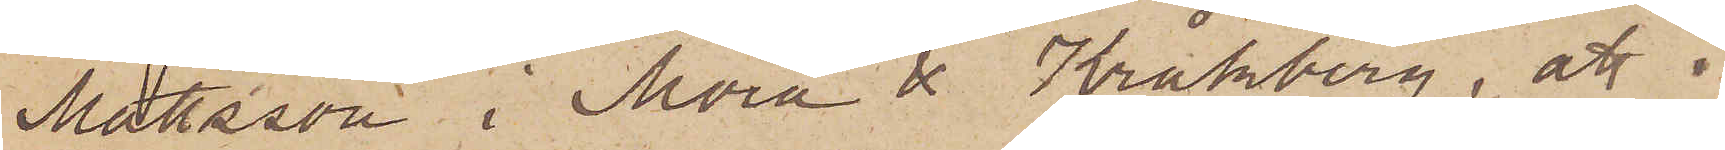Mattsson i Mora & Kråkberg, att 
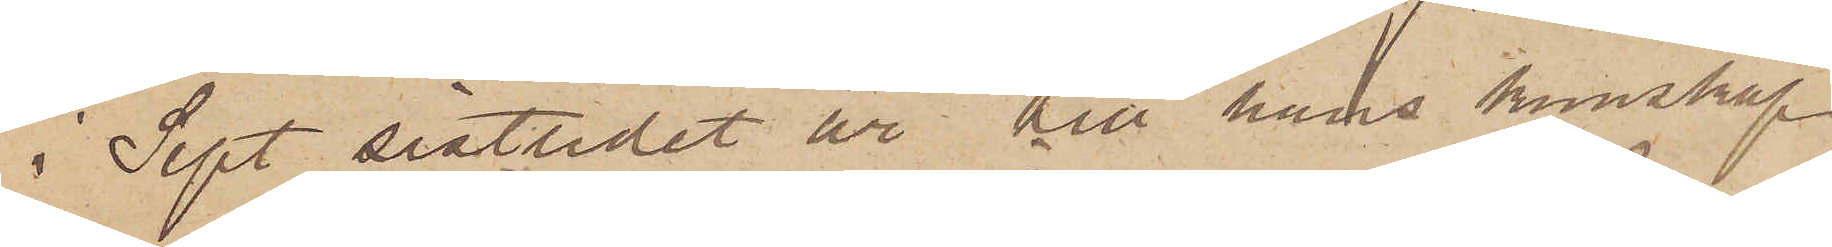i Sept sistlidet år till hans kunskap
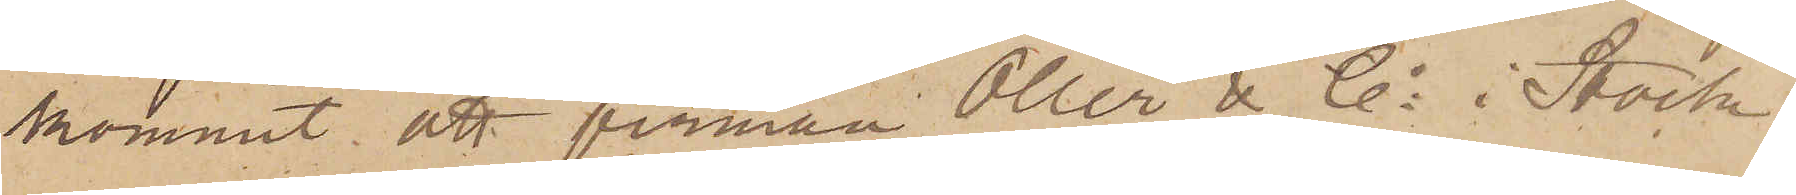kommit att firman Öller & Co i Stock¬
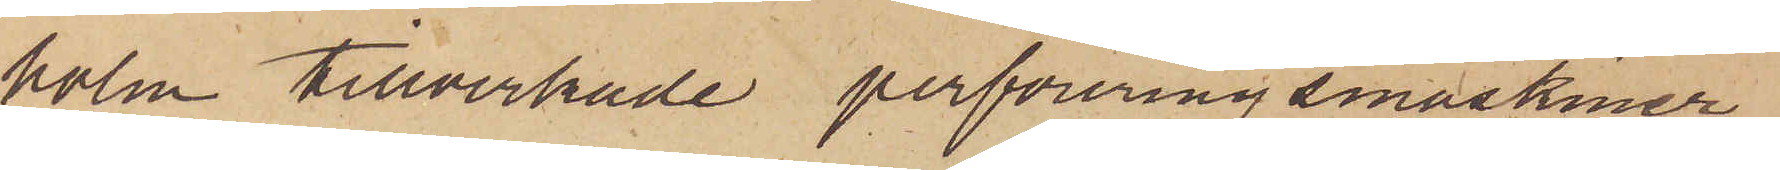holm tillverkade perforeringsmaskiner,
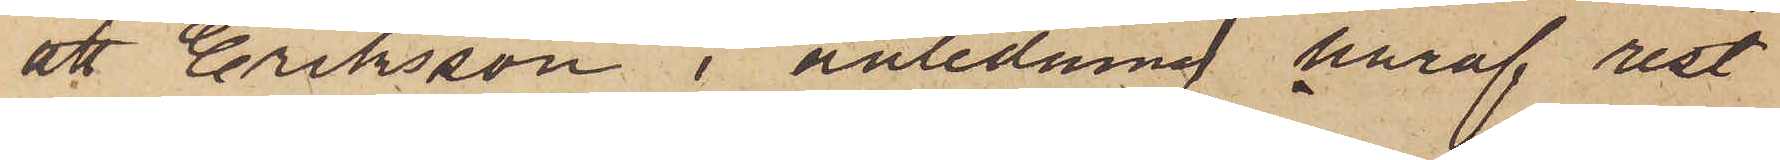att Eriksson i anledning häraf rest
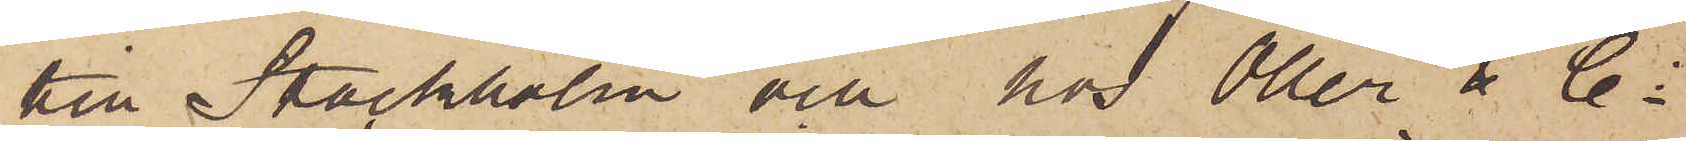till Stockholm och hos Öller & Co
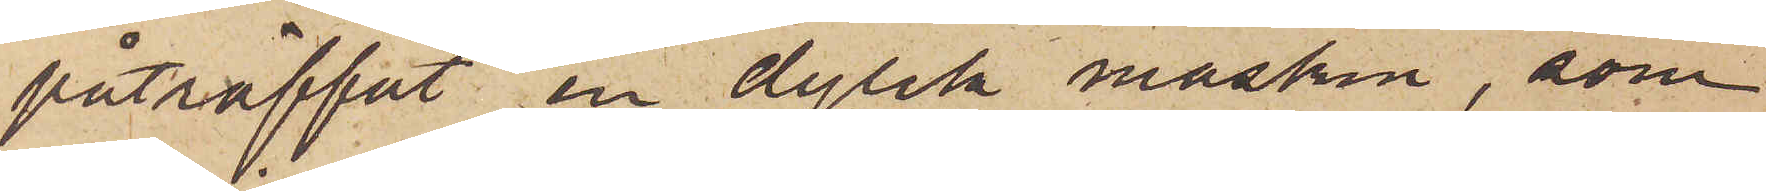påträffat en dylik maskin, som
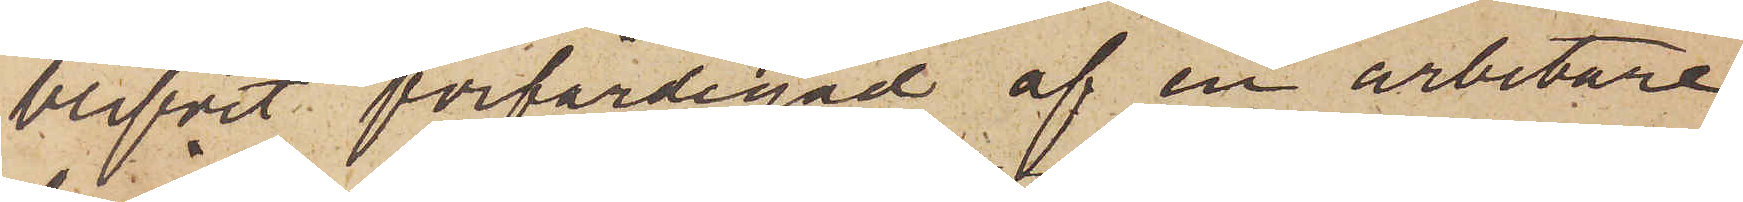blifvit förfärdigad af en arbetare,
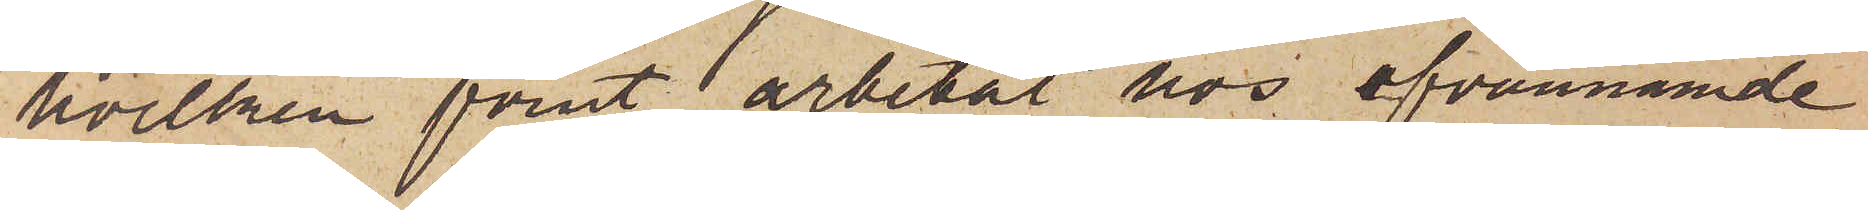hvilken förut arbetat hos ofvannämnde
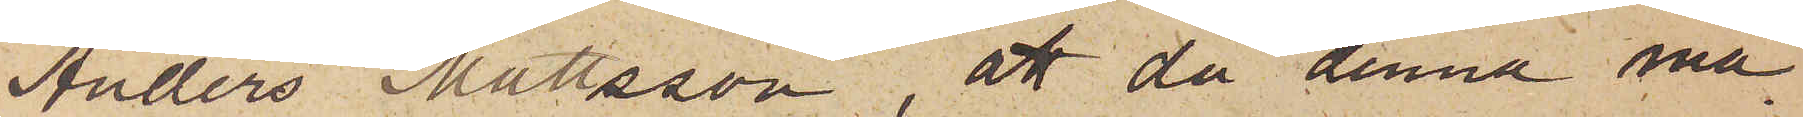Anders Mattsson, att då denna ma¬
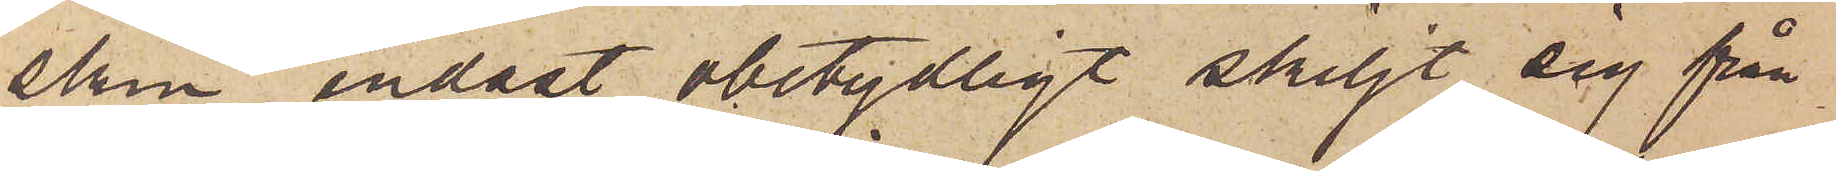skin endast obetydligt skiljt sig från
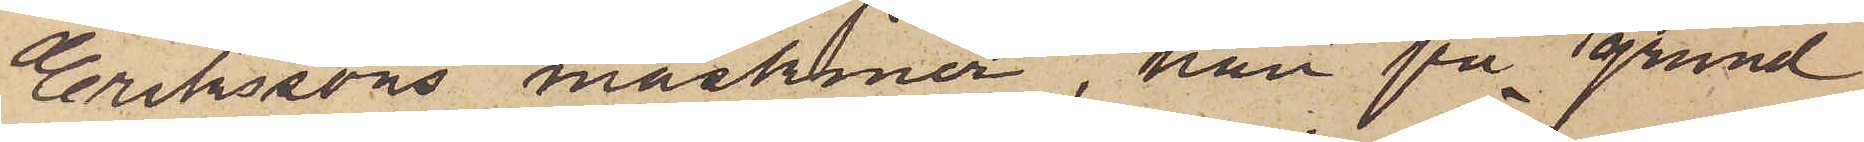Erikssons maskiner, han på grund
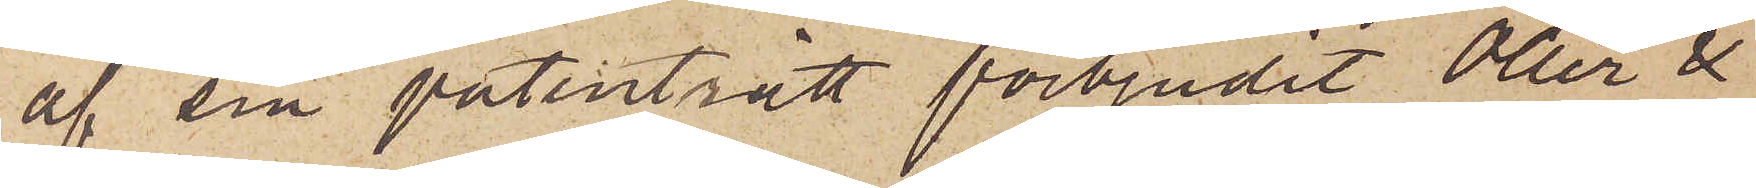af sin patenträtt förbjudit Öller &
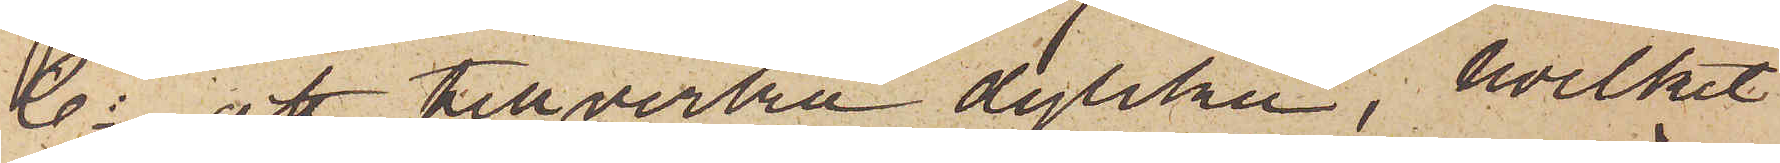Co att tillverka dylika, hvilket
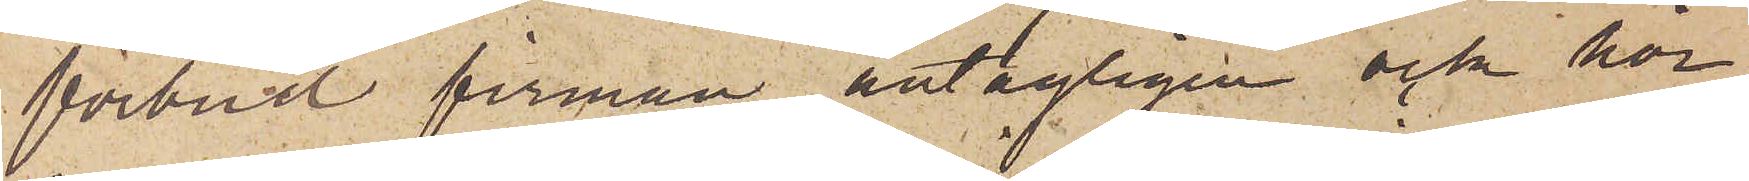förbud firman antagligen ock hör¬
